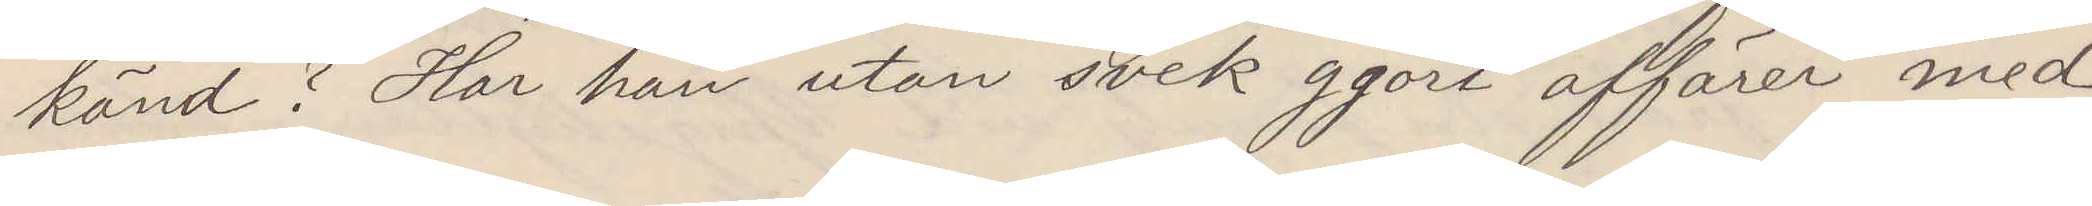känd? Har han utan svek gjort affärer med
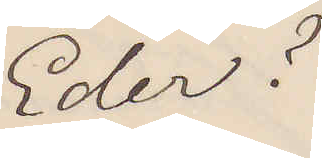Eder?
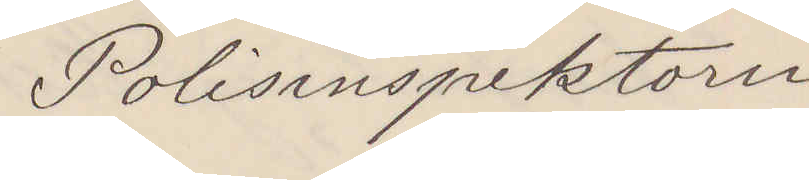Polisinspektorn
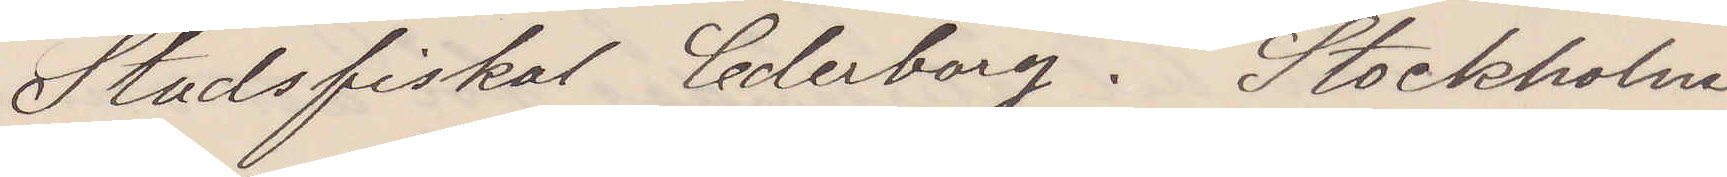Stadsfiskal Cederberg. Stockholm
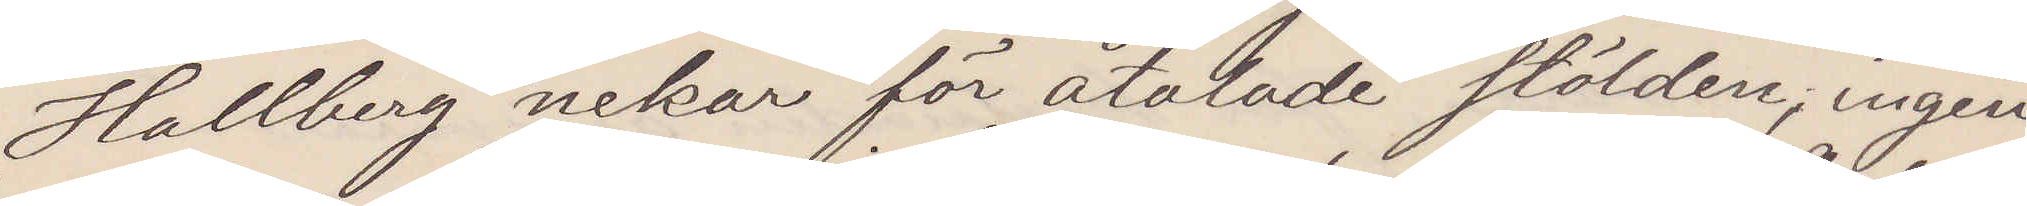Hallberg nekar för åtalade stölden, ingen
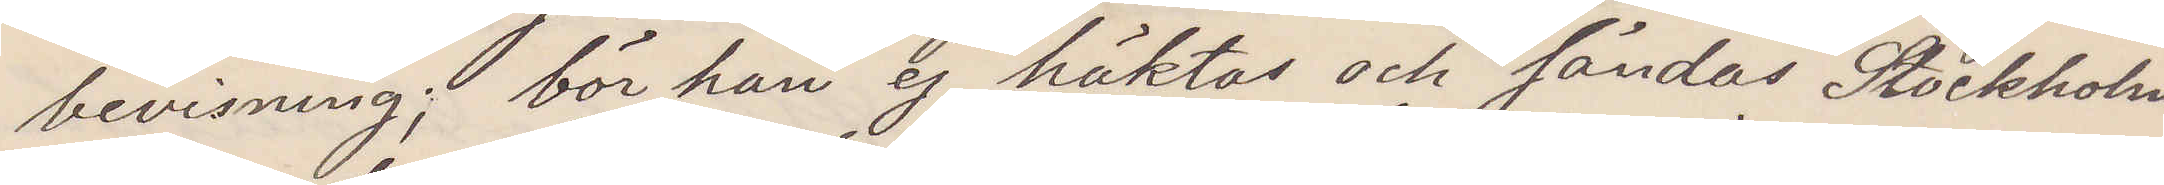bevisning; bör han ej häktas och sändas Stockholm
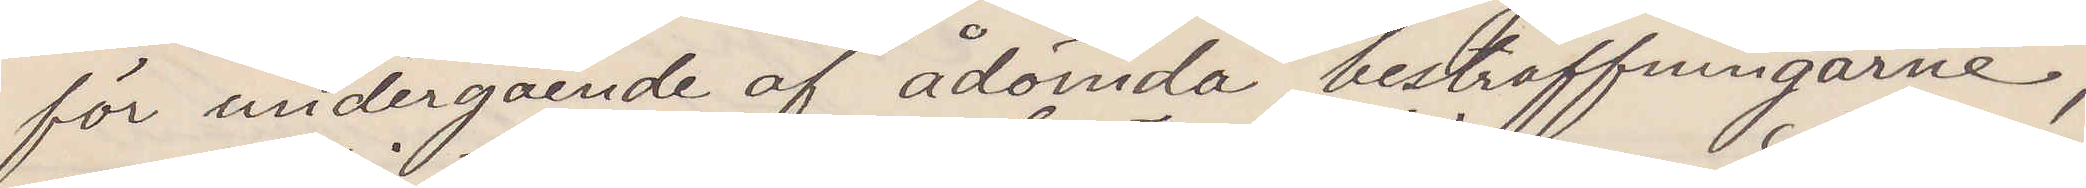för undergående af ådömda bestraffningarne;
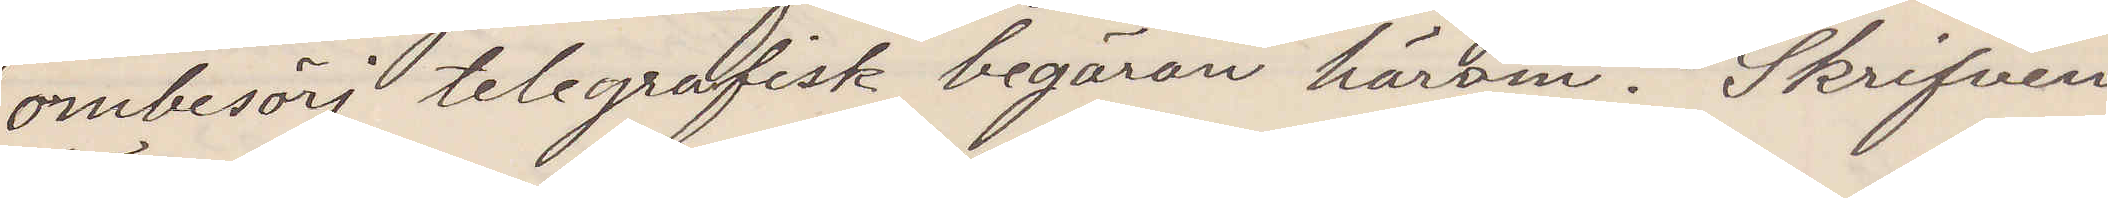ombesörj telegrafisk begäran härom. Skrifven
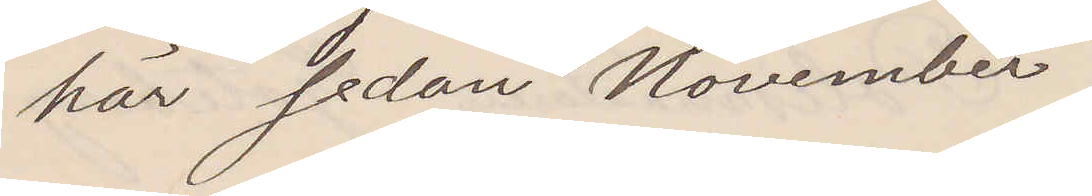här sedan November.
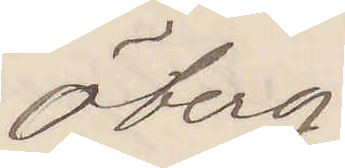Öberg
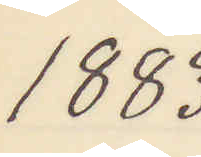1883
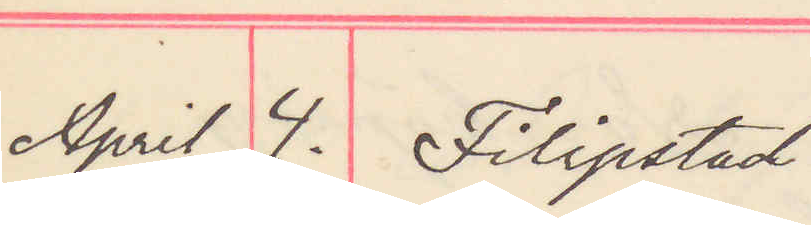April 4. Filipstad
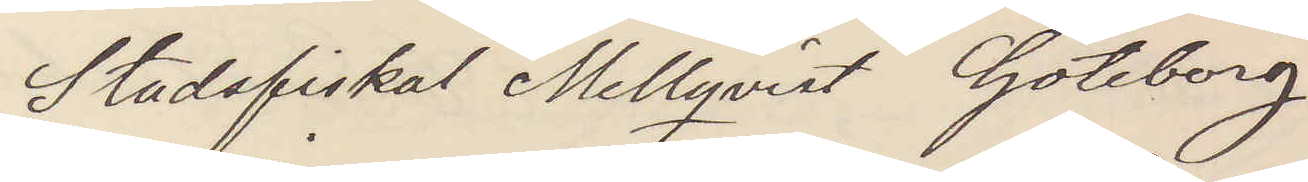Stadsfiskal Mellqvist Göteborg
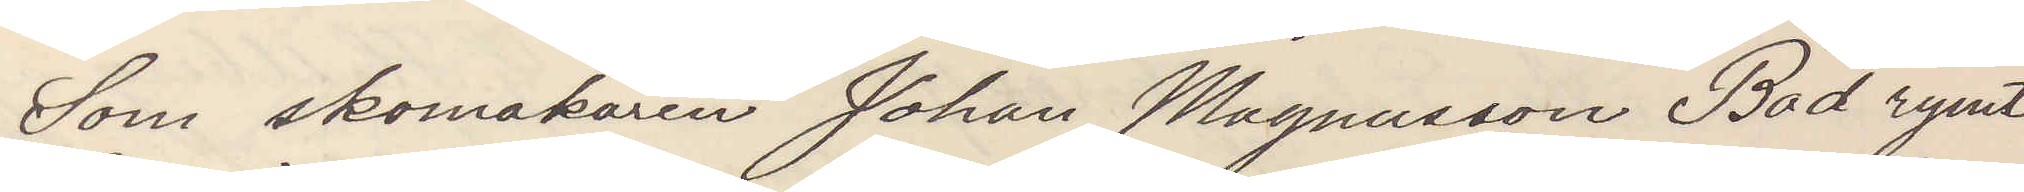Som skomakren Johan Magnusson Bad rymt
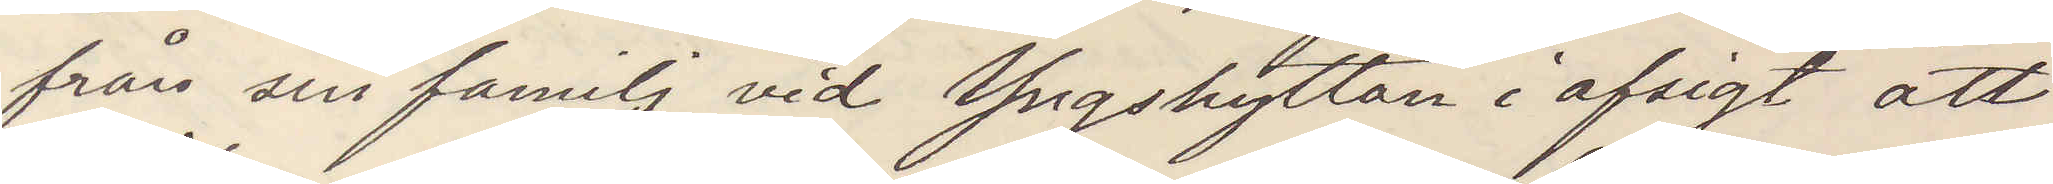från sin familj vid Yngshyttan i afsigt att
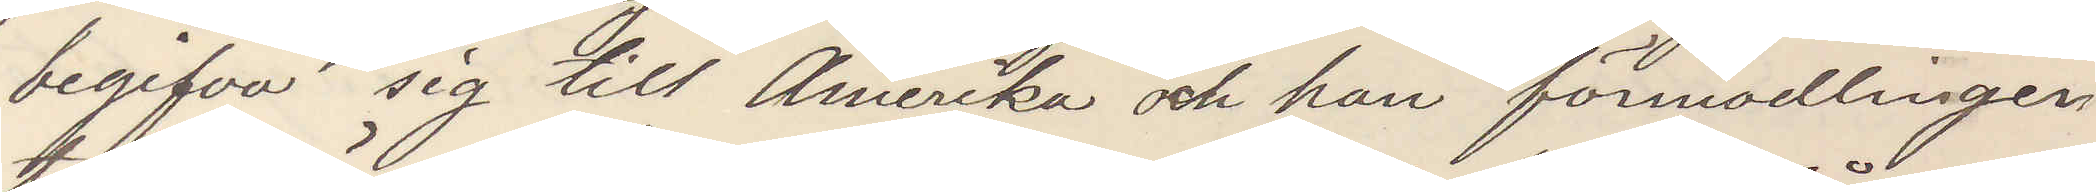begifva sig till Amerika och han förmodligen
